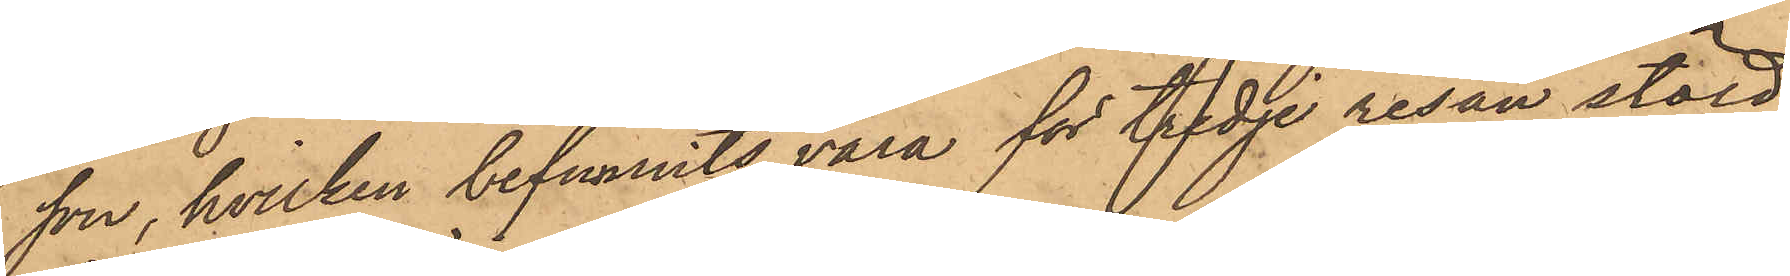son, hvilken befunnits vara för tredje resan stöld
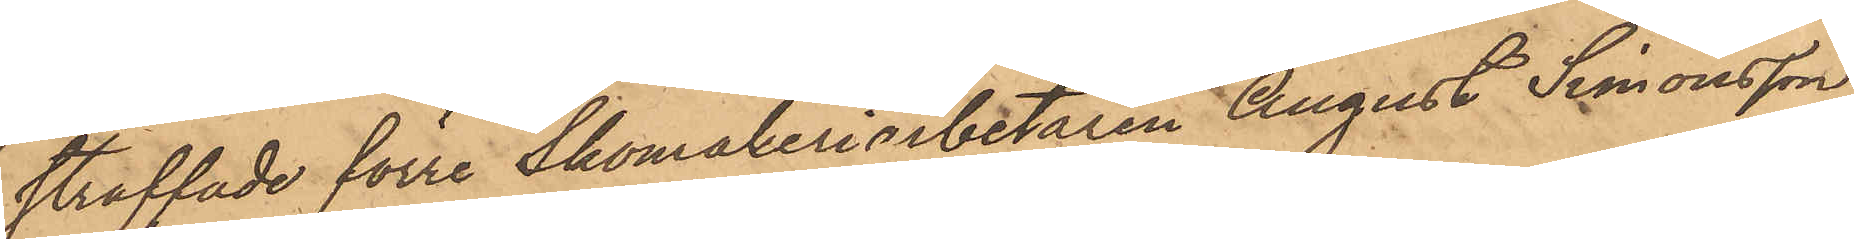straffade förre Skomakeriarbetaren August Simonsson
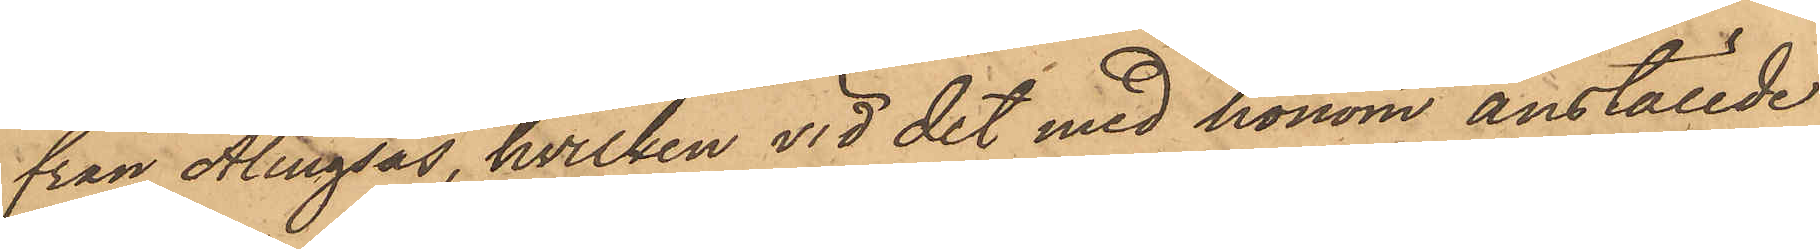från Alingsås, hvilken vid det med honom anställde
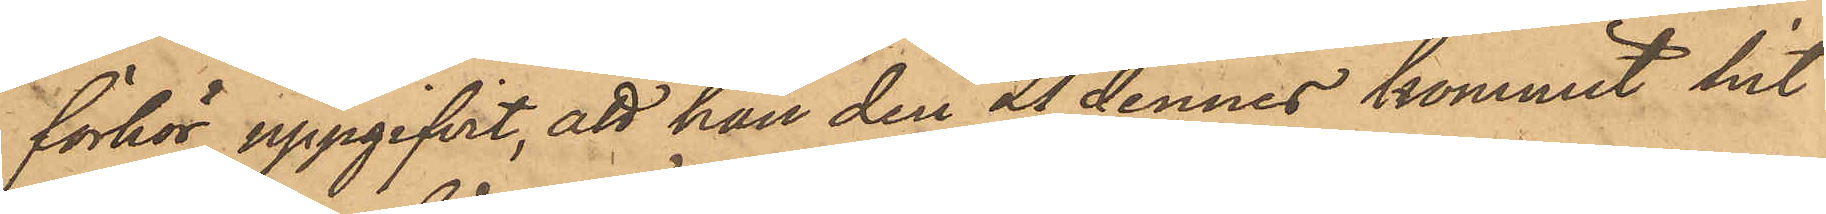förhör uppgifvit, att han den 21 dennes kommit hit
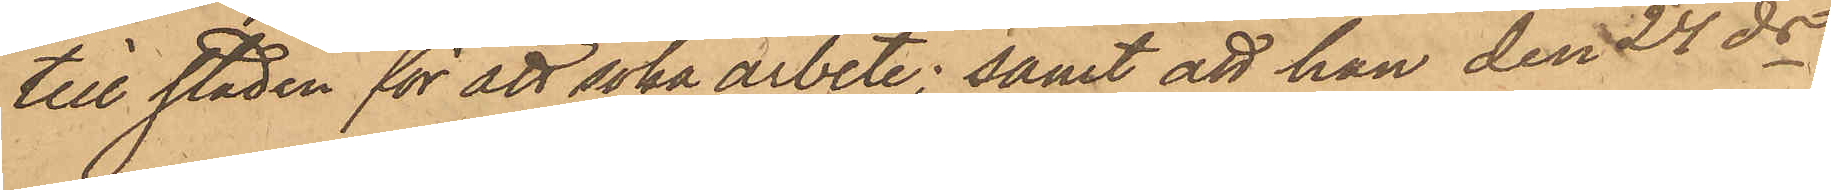till staden för att söka arbete; samt att han den 24 ds
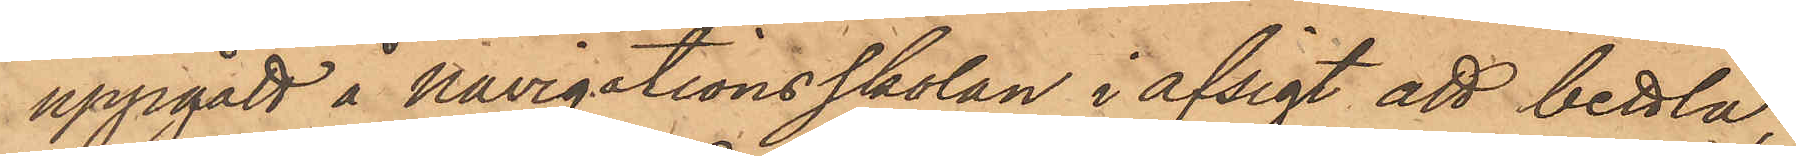uppgått å Navigationsskolan i afsigt att bettla,
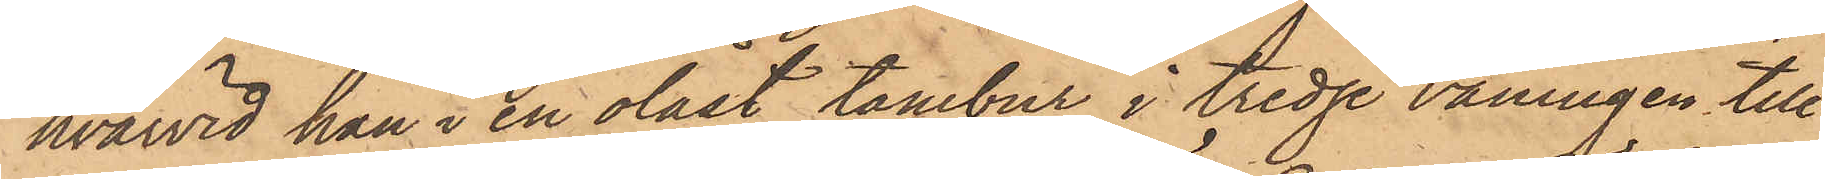hvarvid han i en olåst tambur i tredje våningen till¬
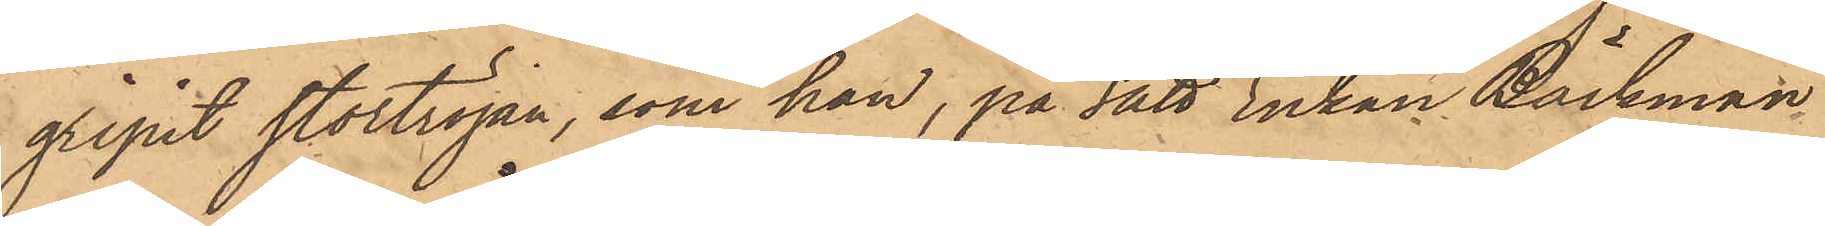gripit stortröjan, som han, på sätt Enkan Bäckman
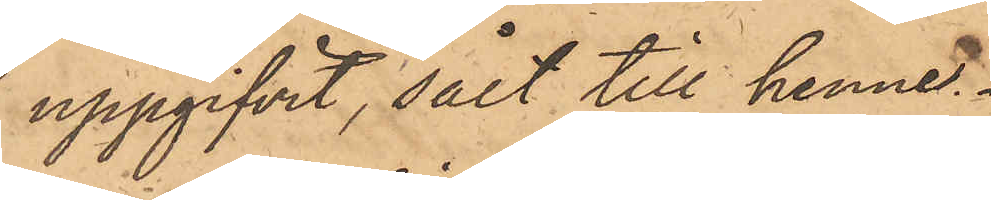uppgifvit, sålt till henne.
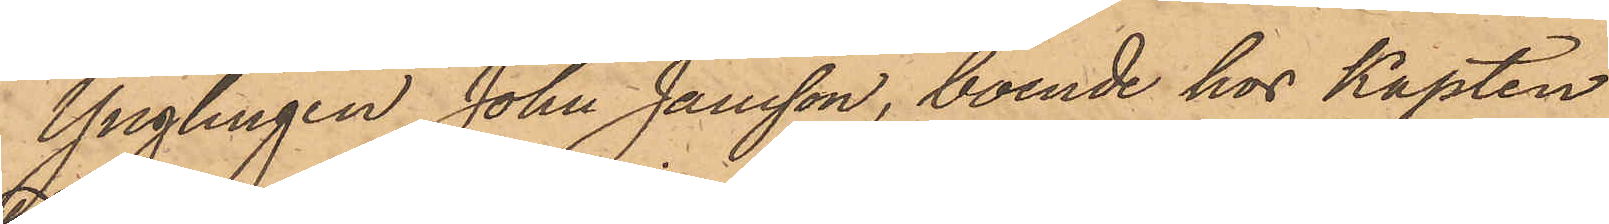Ynglingen John Jansson, boende hos Kapten
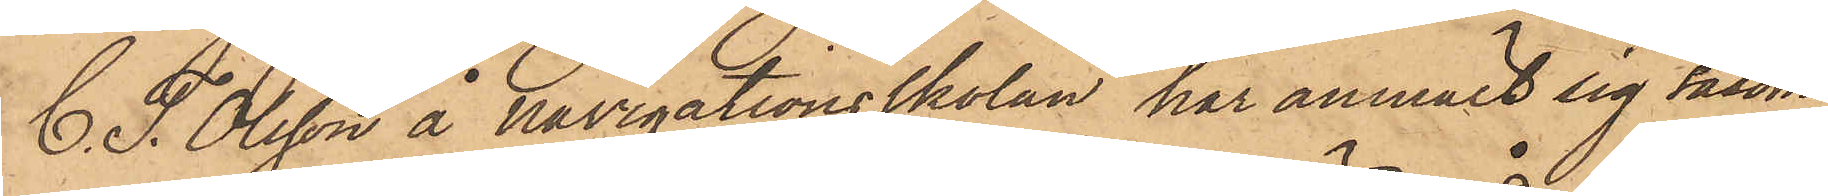C. T. Olsson å navigationsskolan, har anmält sig såsom
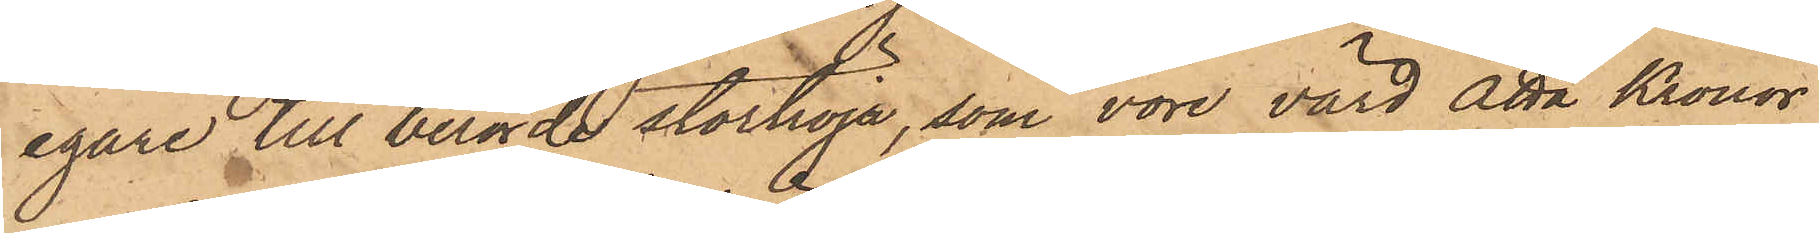egare till berörde stortröja, som vore värd åtta Kronor
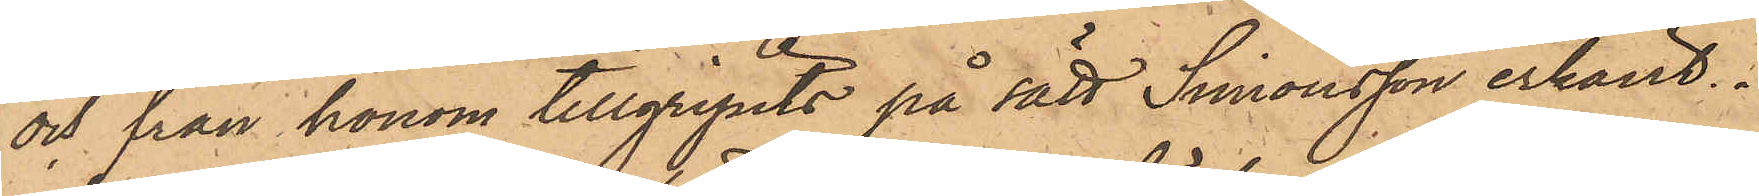och från honom tillgripits på sätt Simonsson erkänt.
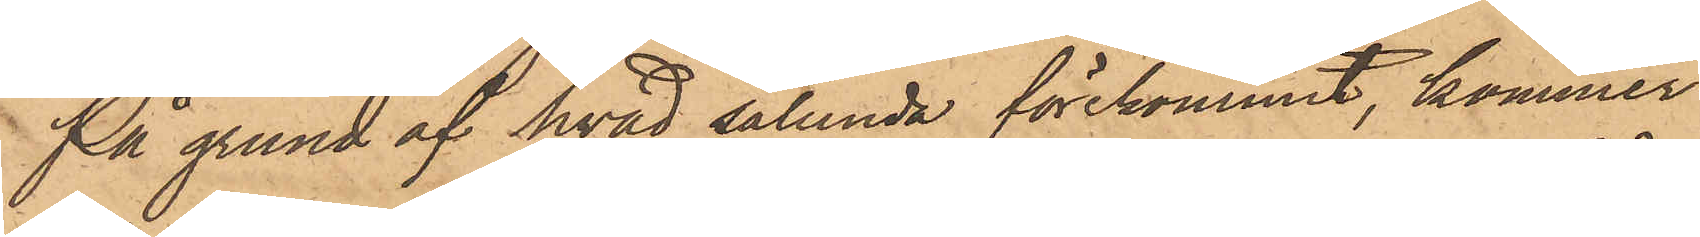På grund af hvad sålunda förekommit, kommer
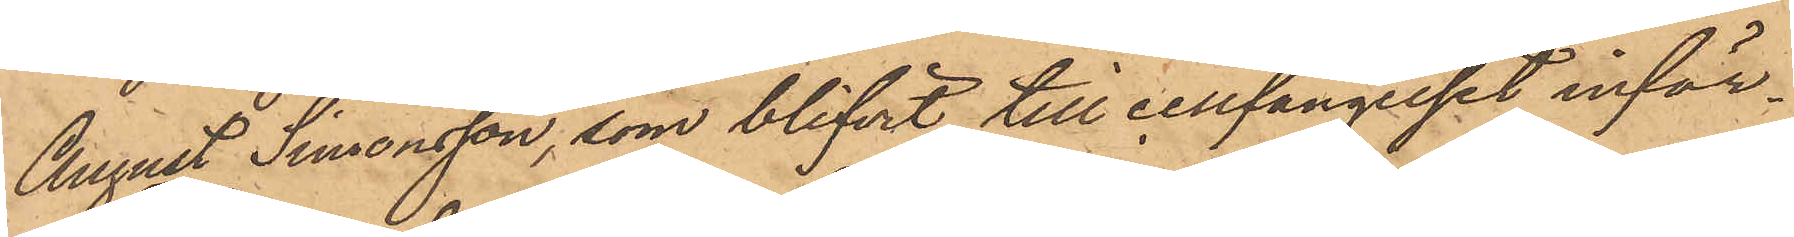August Simonsson, som blifvit till cellfängelset inför¬
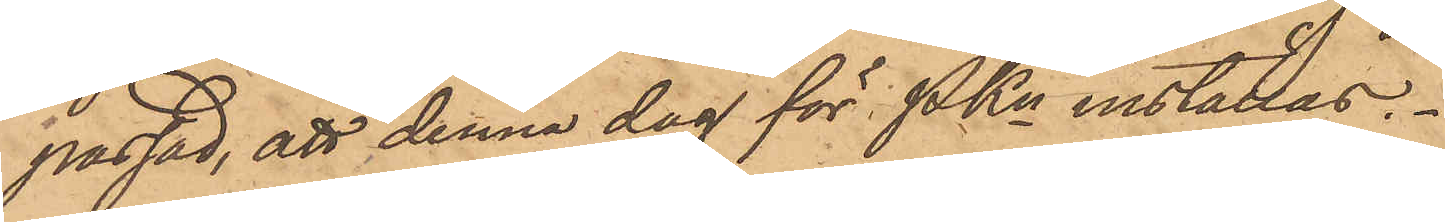passad, att denna dag för PKn inställas.
